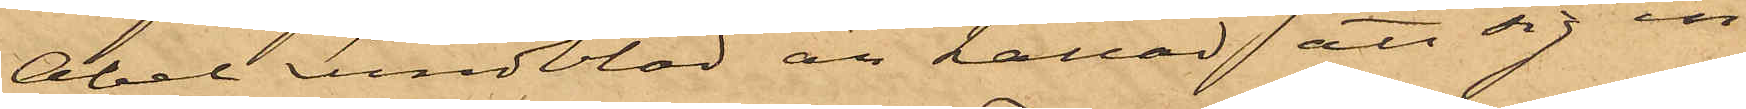Abel Lundblad är kallad att sig in¬
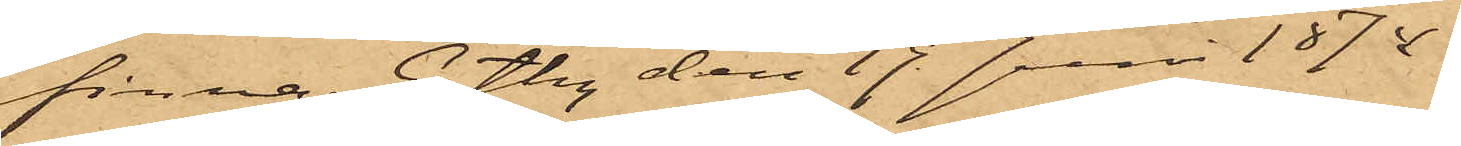finna. Gtbg den 19 Juni 1874.
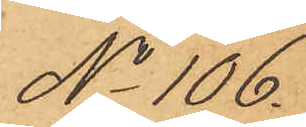No 106.
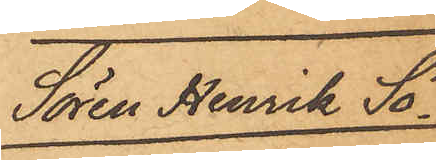Sören Henrik Sö¬
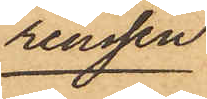renssen
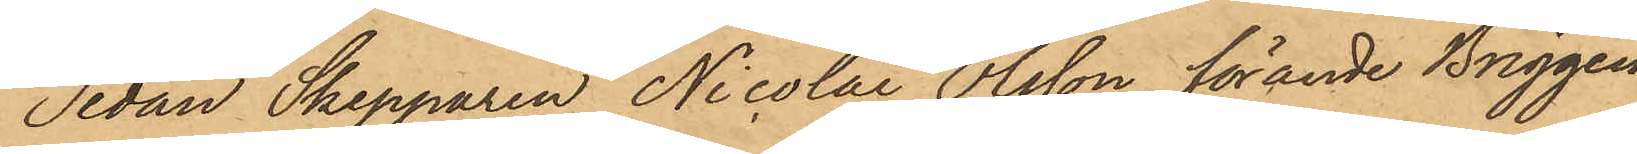Sedan Skepparen Nicolai Olsson, förande Briggen
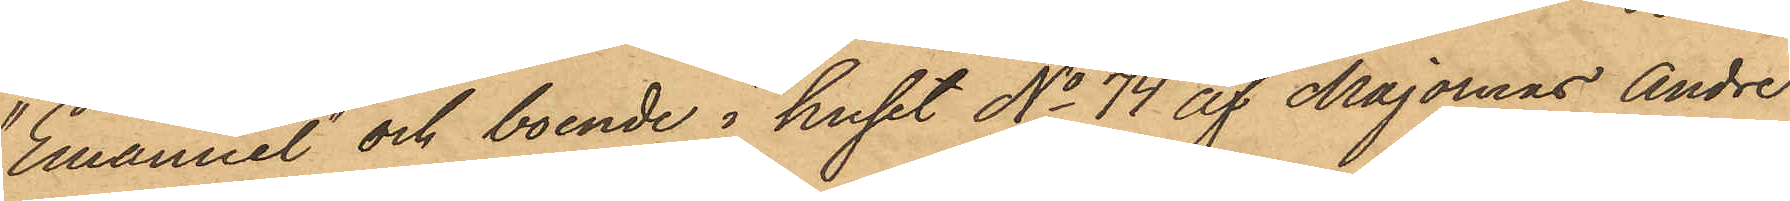"Emanuel" och boende i huset No 74 af Majornas Andre
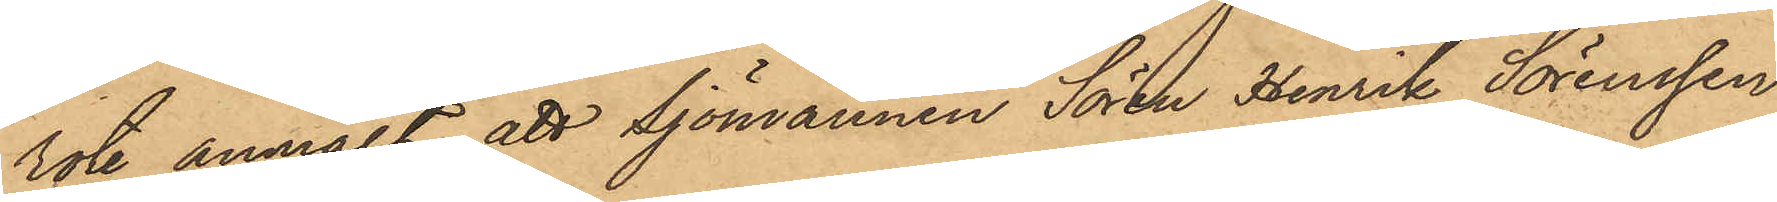rote anmält, att sjömannen Sören Henrik Sörenssen
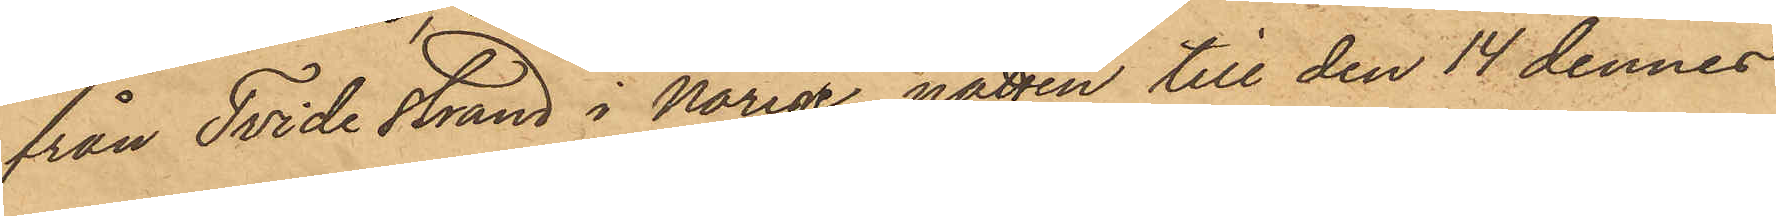från Tvide strand i Norige natten till den 14 dennes
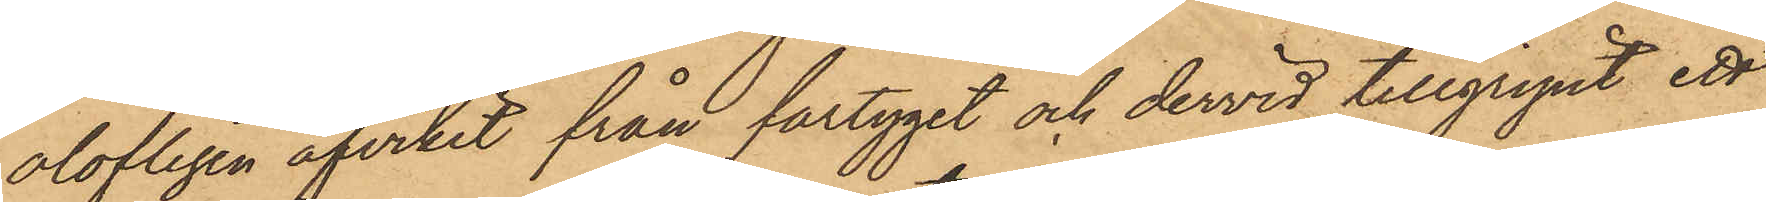olofligen afvikit från fartyget och dervid tillgripit ett
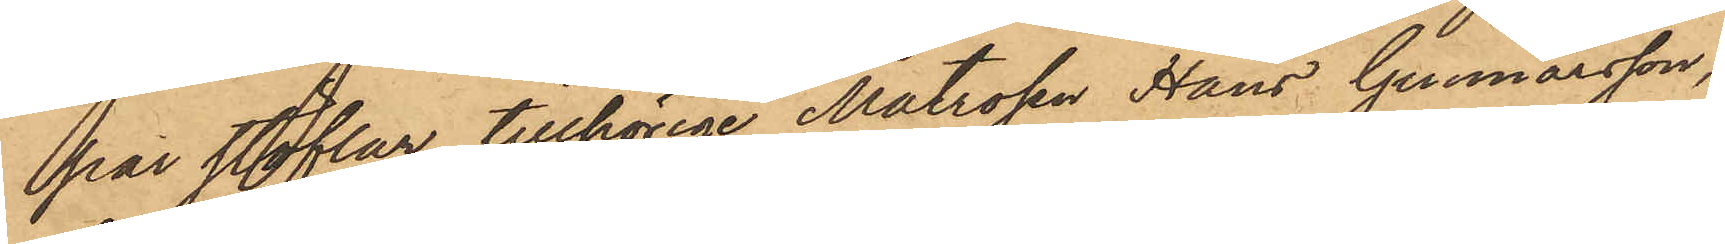par stöflar, tillhörige Matrosen Hans Gunnarsson,
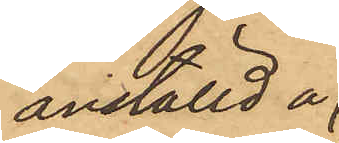anställd å
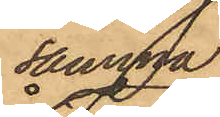samma
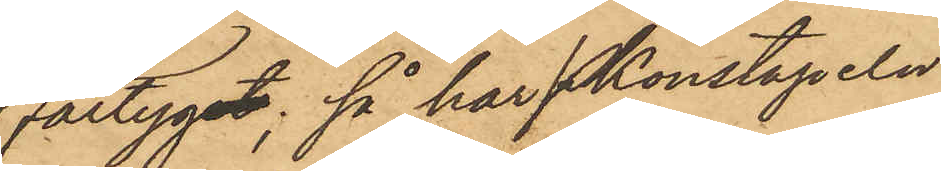fartyg, så har Konstapeln
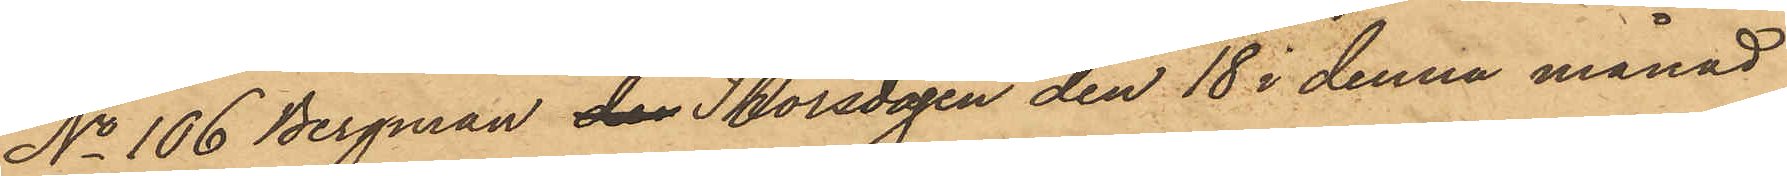No 106 Bergman den Thorsdagen den 18 i denna månad
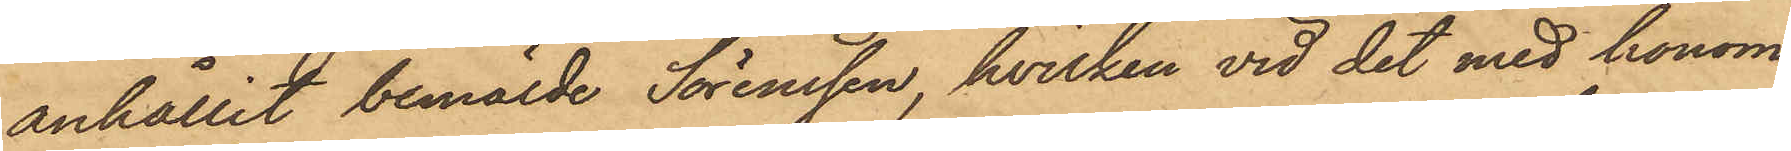anhållit bemälde Sörenssen, hvilken vid det med honom
